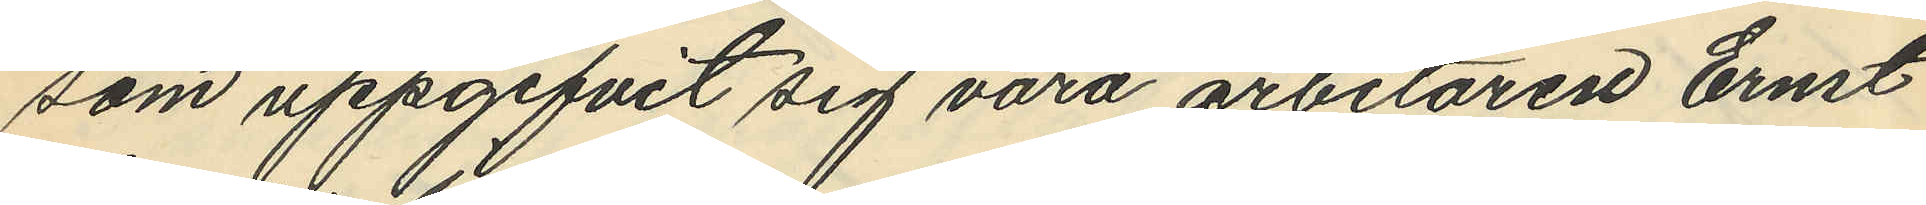som uppgifvit sig vara arbetaren Ernst
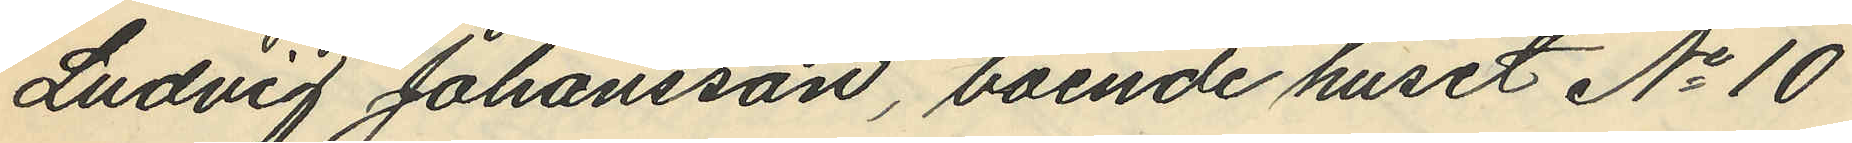Ludvig Johansson, boende huset No 10
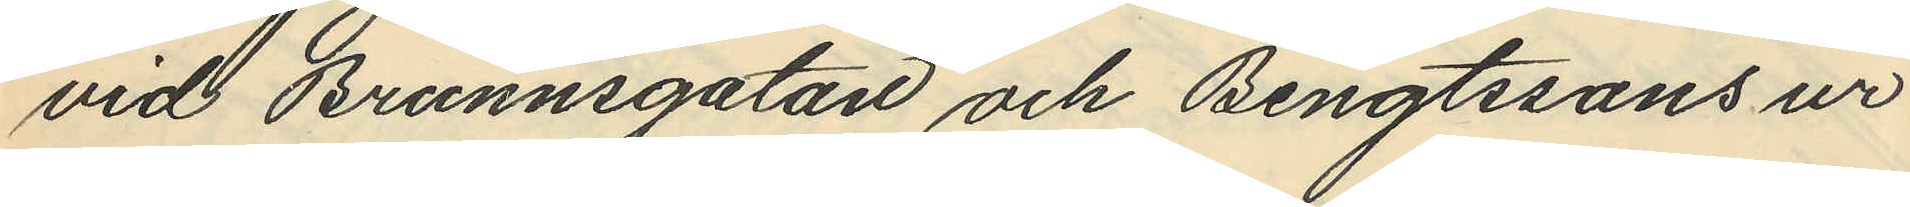vid Brunnsgatan och Bengtssons ur
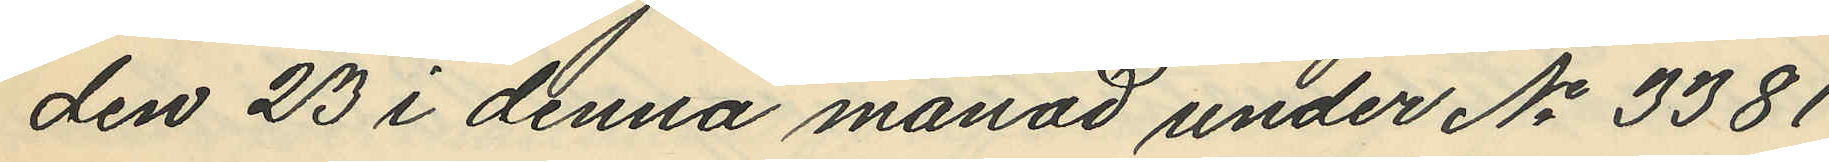den 23 i denna månad under No 3381
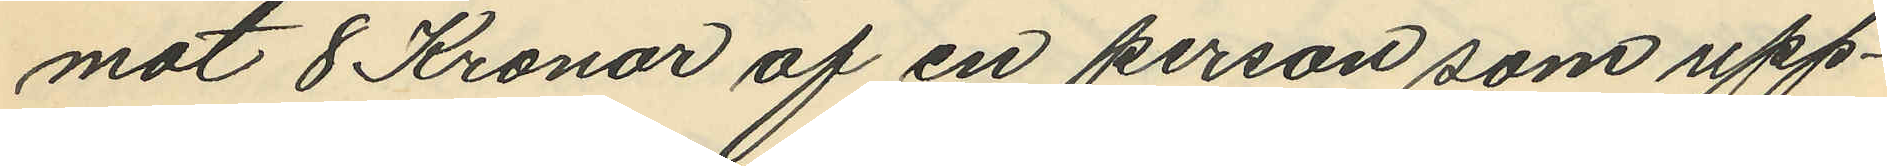mot 8 Kronor af en person som upp¬
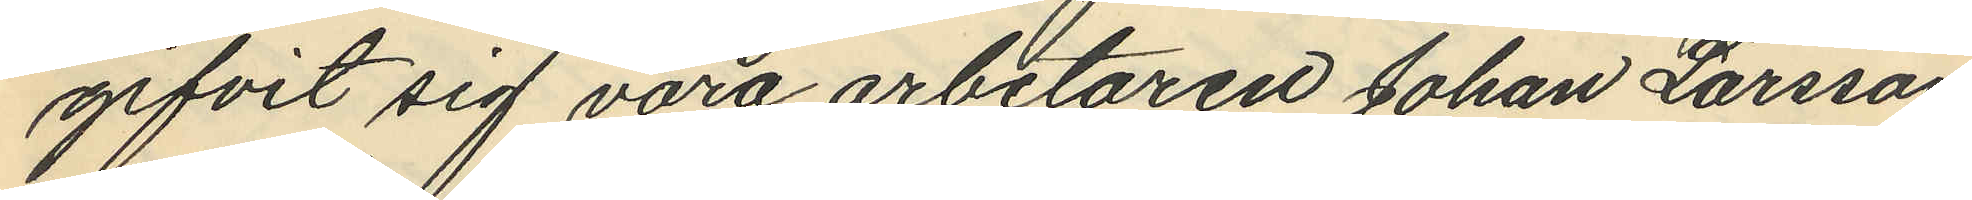gifvit sig vara arbetaren Johan Larsson,
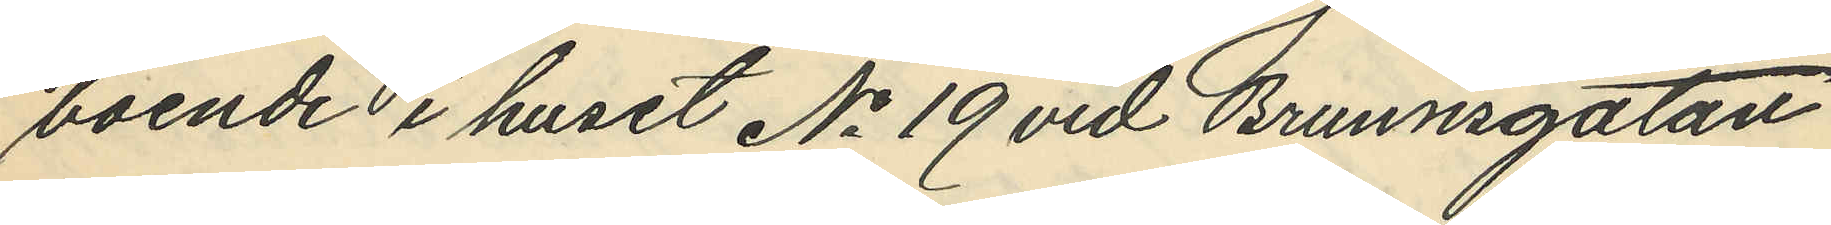boende i huset No 19 vid Brunnsgatan
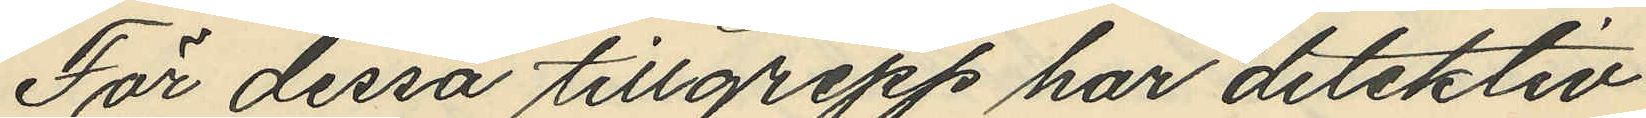För dessa tillgrepp har detektiv¬
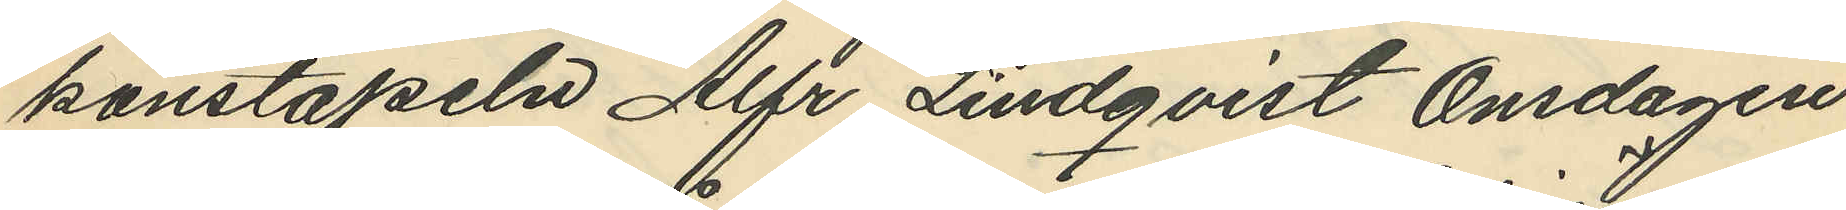konstapeln Alfr. Lindqvist Onsdagen
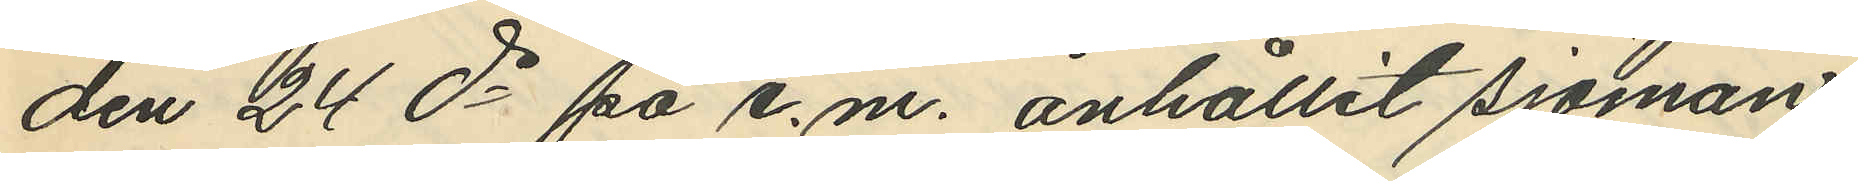den 24 ds på e.m. anhållit sjöman¬
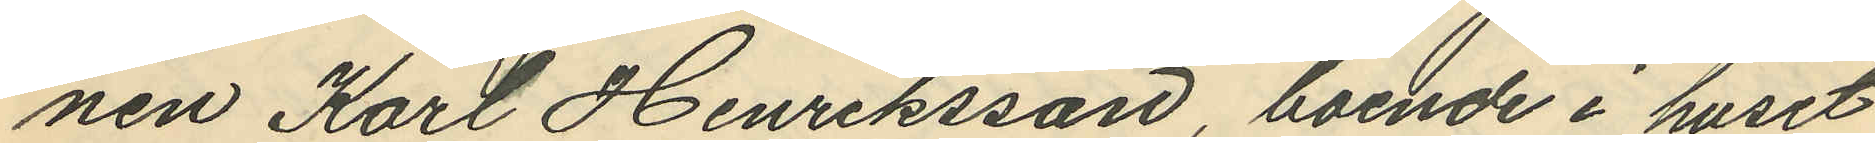nen Karl Henriksson, boende i huset
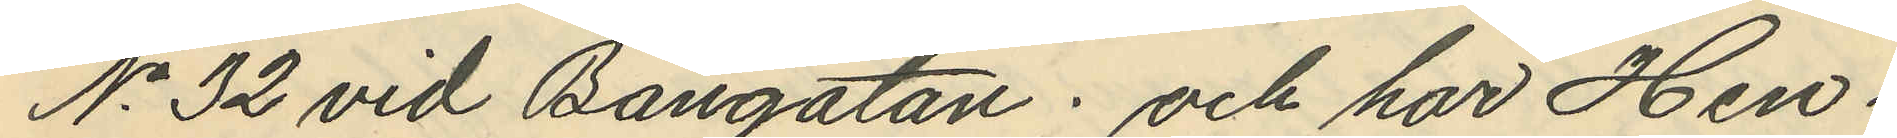No 32 vid Bangatan; och har Hen¬
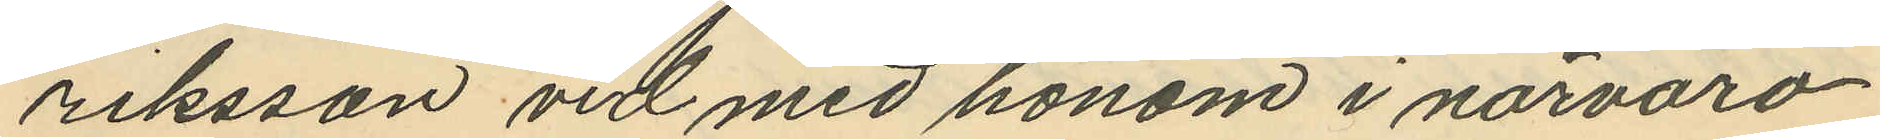riksson vid med honom i närvaro
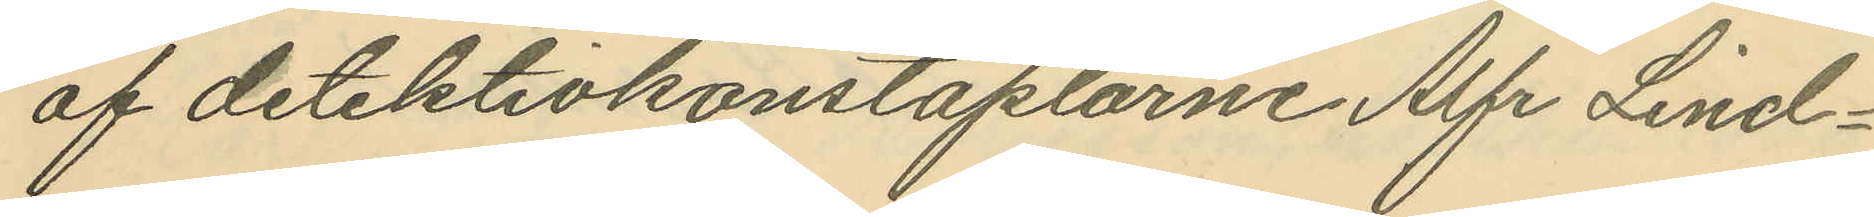af detektivkonstaplarne Alfr Lind¬
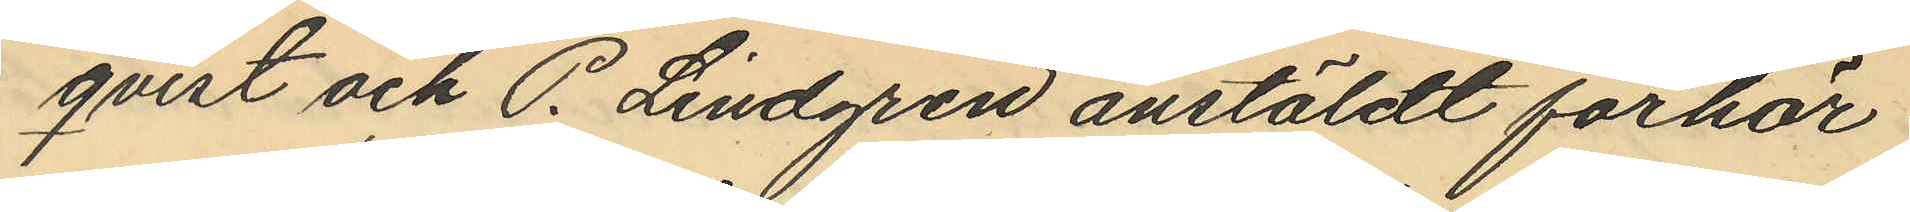qvist och P. Lindgren anstäldt förhör
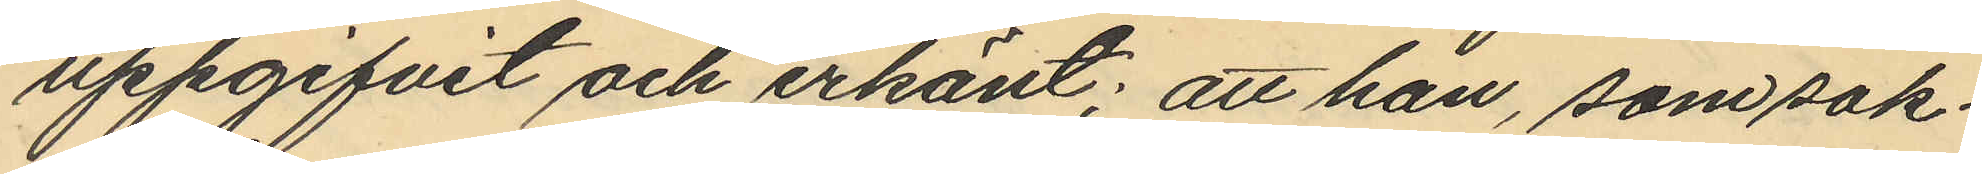uppgifvit och erkänt; att han, som sak¬
